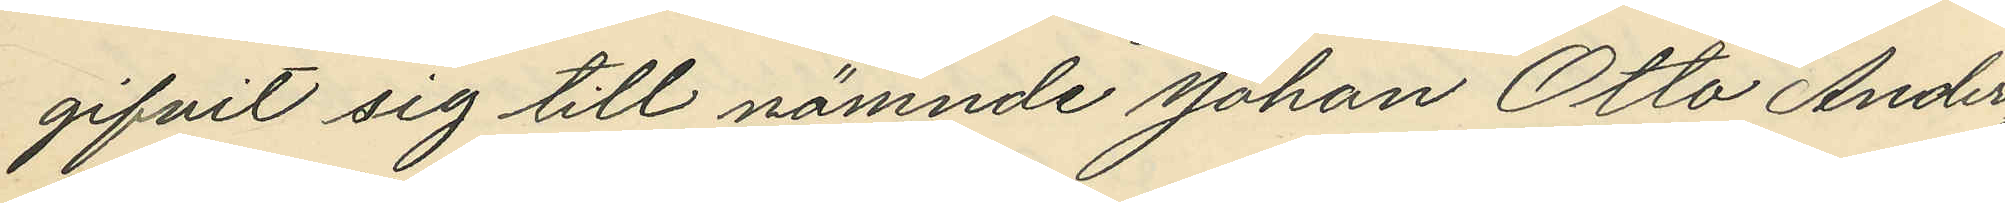gifvit sig till nämnde Johan Otto Anders¬
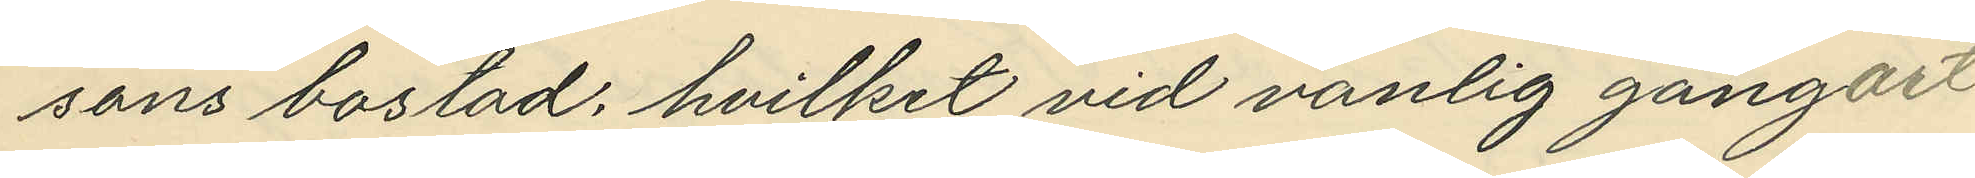sons bostad, hvilket vid vanlig gångart
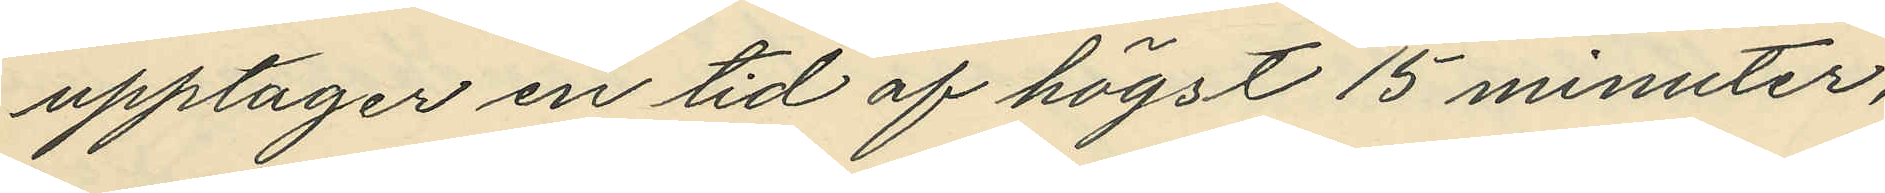upptager en tid af högst 15 minuter,
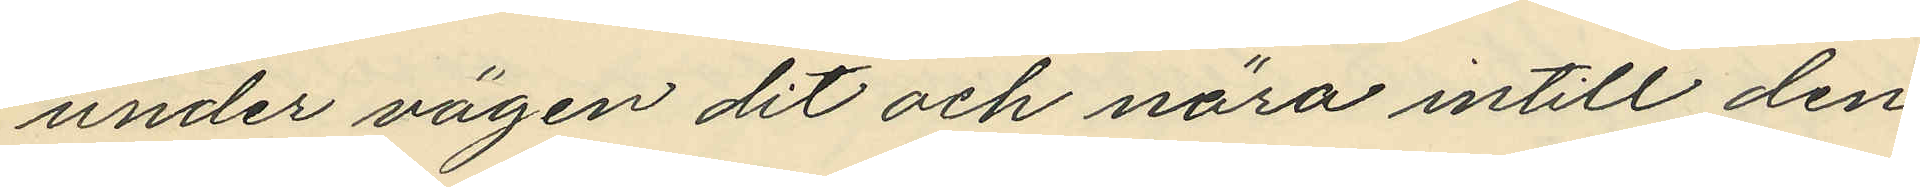under vägen dit och nära intill den
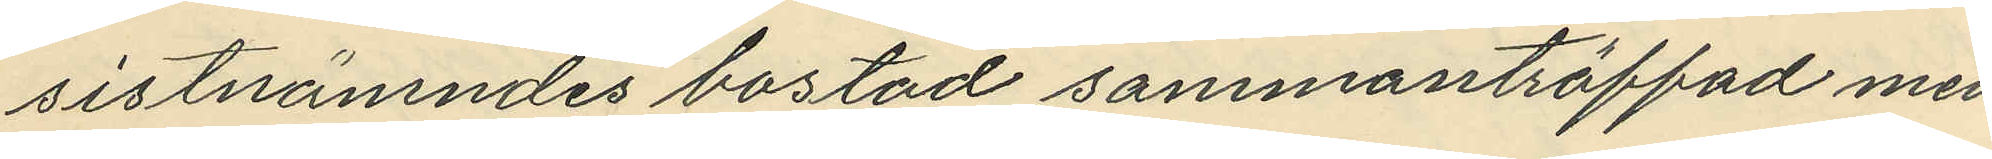sistnämndes bostad sammanträffad med
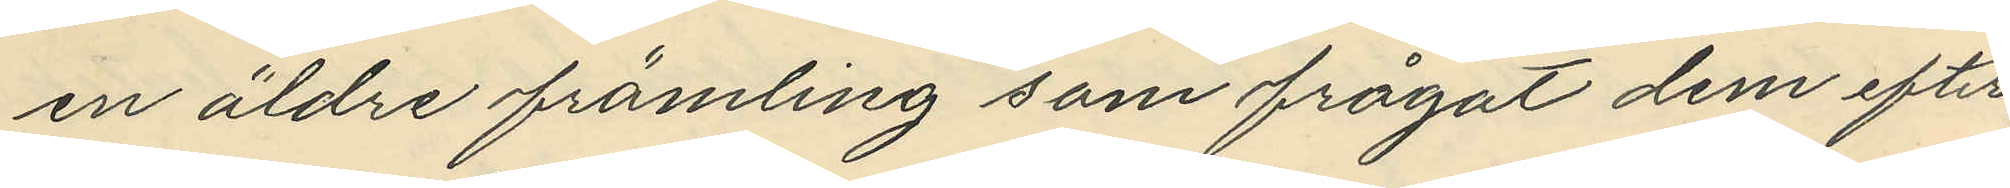en äldre främling som frågat dem efter
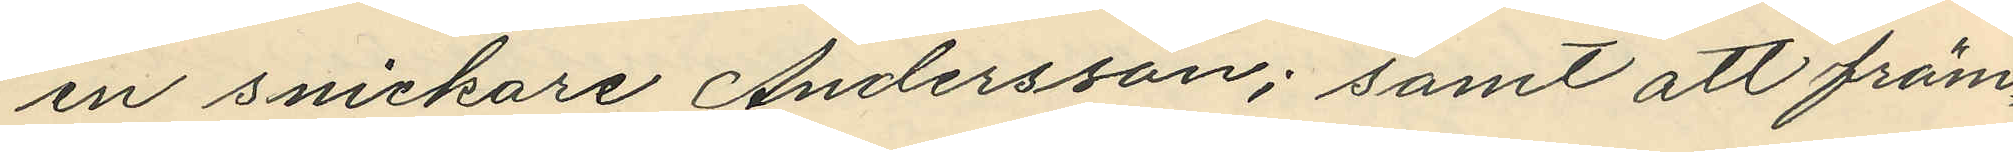en snickare Andersson; samt att främ¬
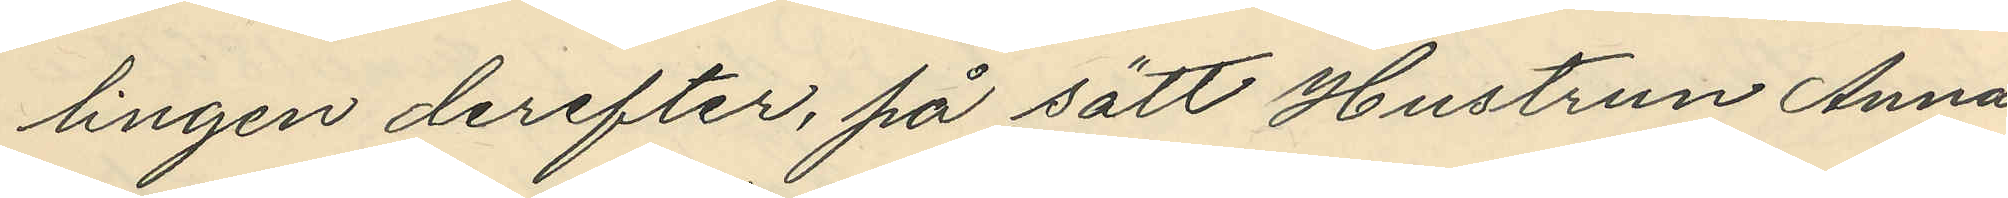lingen derefter, på sätt Hustrun Anna
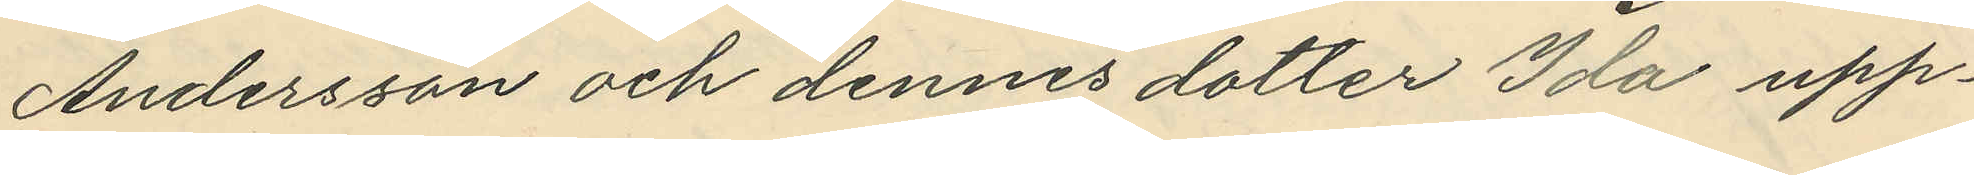Andersson och dennes dotter Ida upp¬
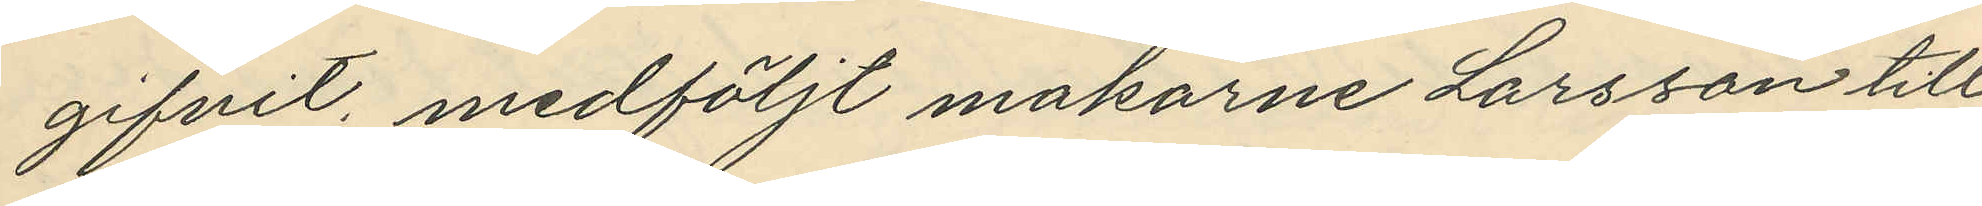gifvit, medföljt makarne Larsson till
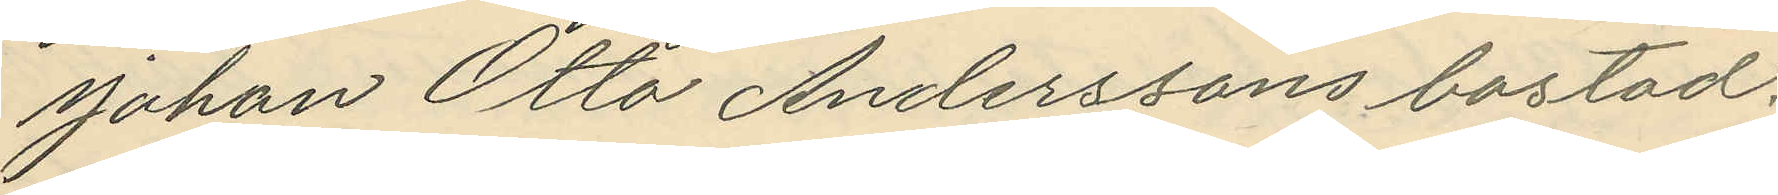Johan Otto Anderssons bostad.
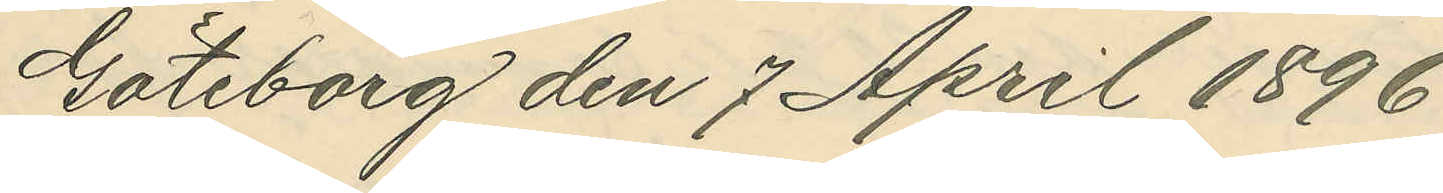Göteborg den 7 April 1896
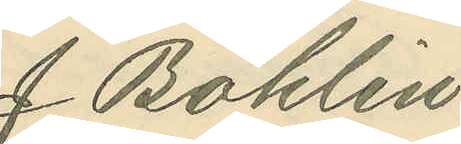J. Bohlin
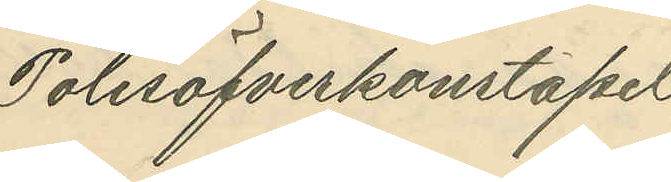Polisöfverkonstapel
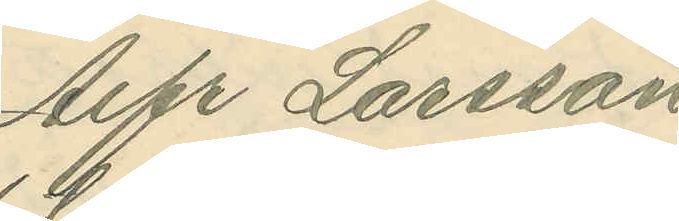Alfr Larsson
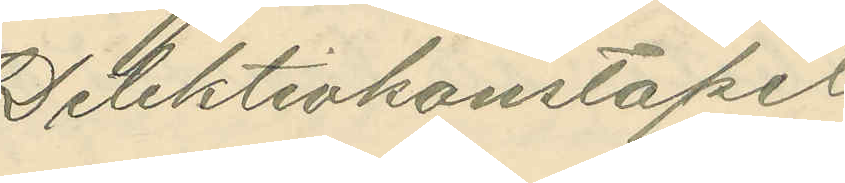Detektivkonstapel
